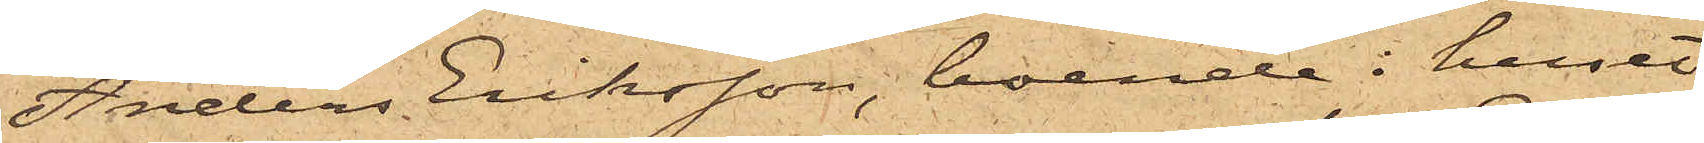Anders Eriksson, boende i huset
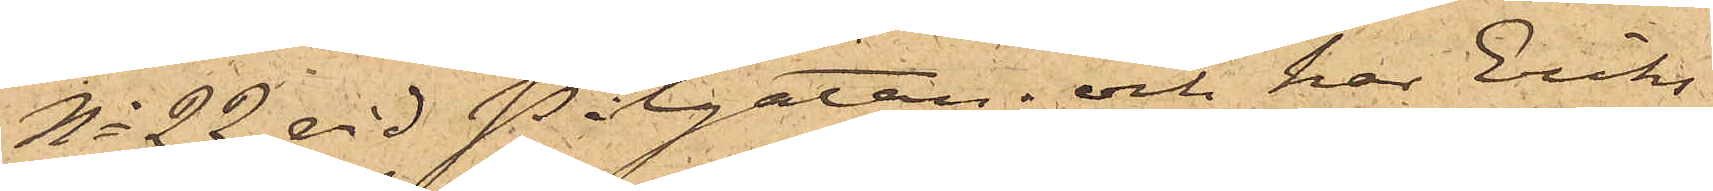No 22 vid Pilgatan; och har Eriks¬
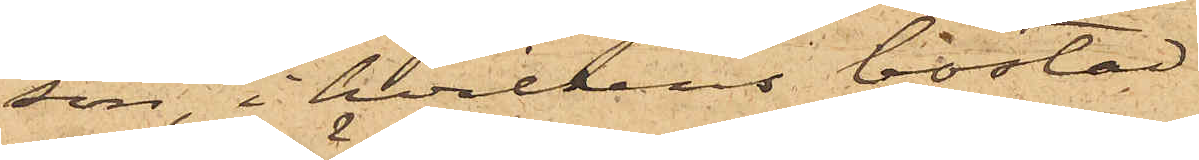son, i hvilkens bostad
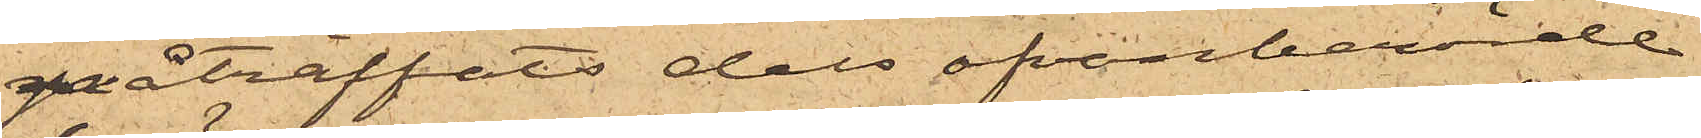påträffats dels ofvanberörde
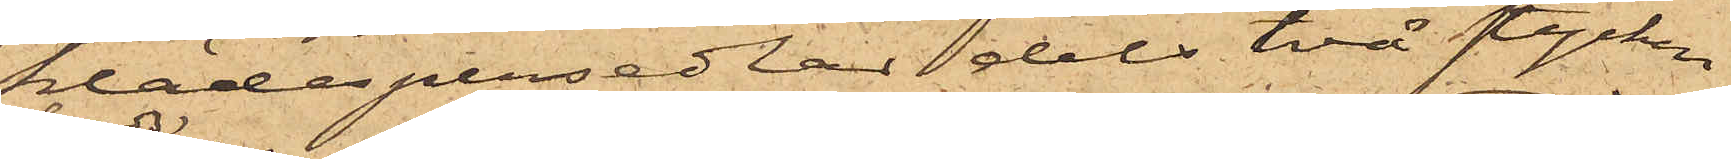klädespersedlar dels två stycken
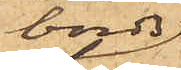bords¬
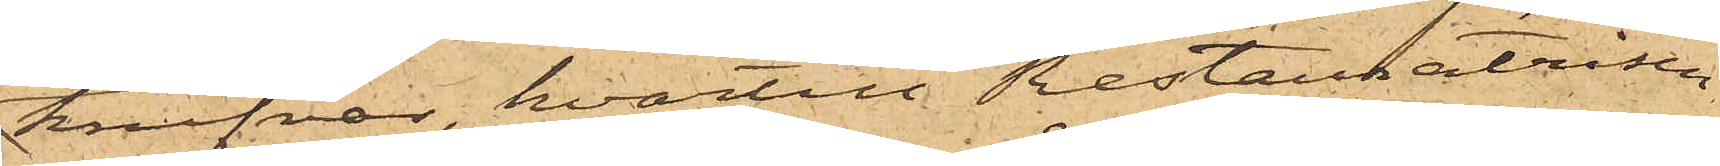knifvar, hvartill Restauratrisen
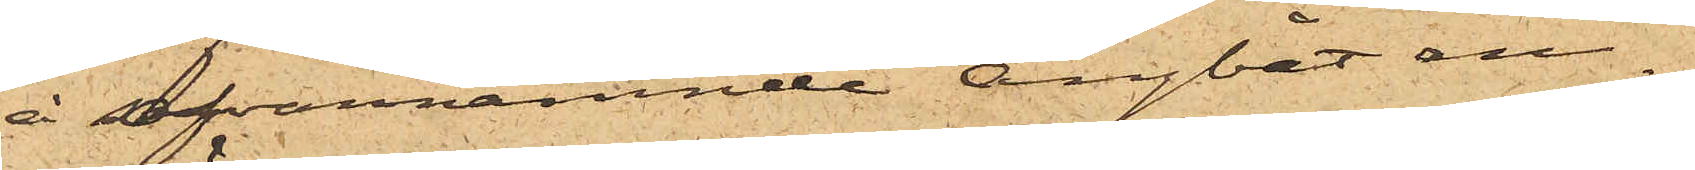å ofvannämnde ångbåt an¬
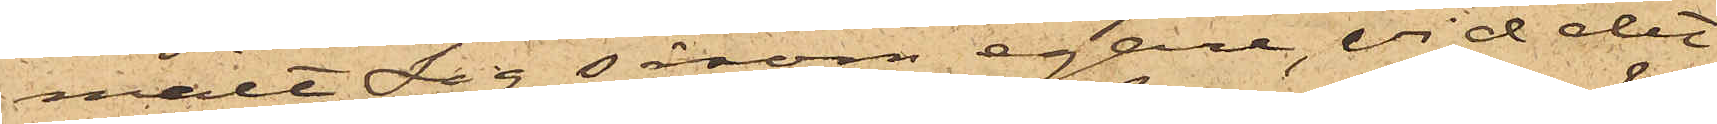mält sig såsom egare, vid det
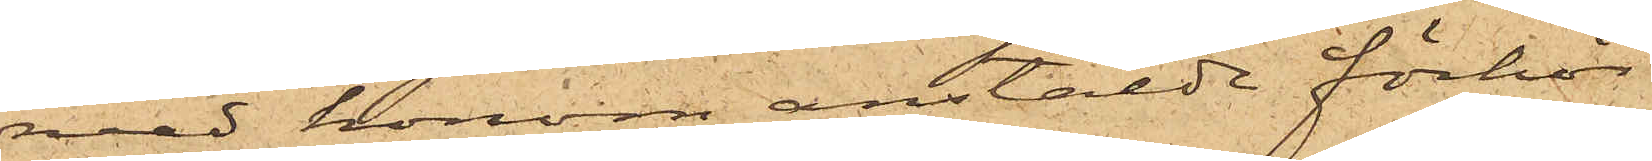med honom anstälde förhör
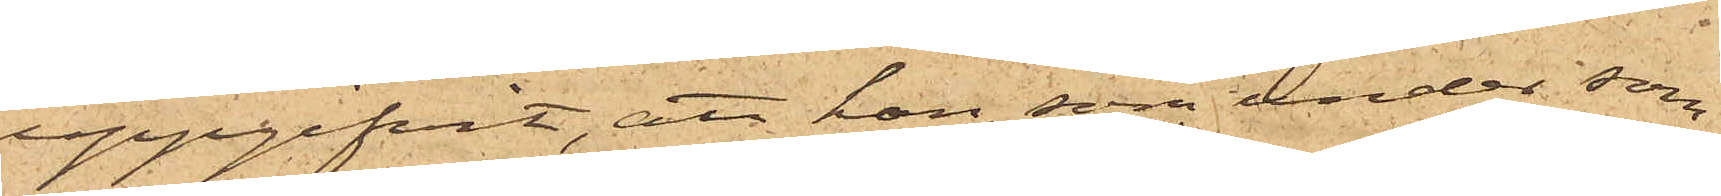uppgifvit, att han, som under som¬
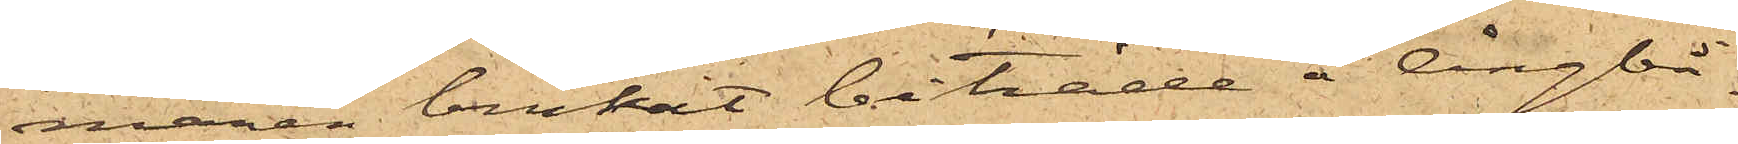maren brukat biträda å Ångbå¬
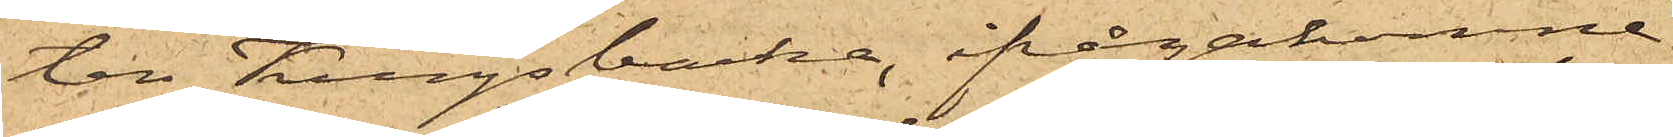ten Kungsbacka, ifrågakomne
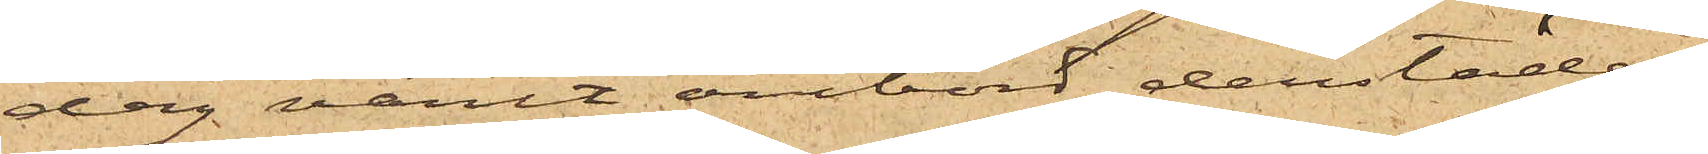dag varit ombord derstädes,
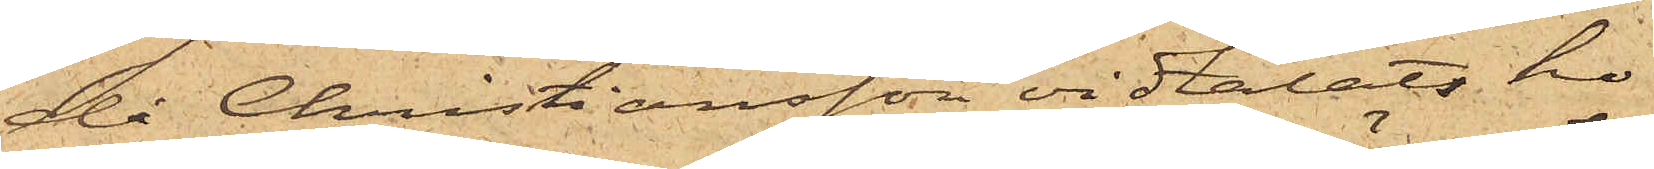då Christiansson vidtalat ho¬
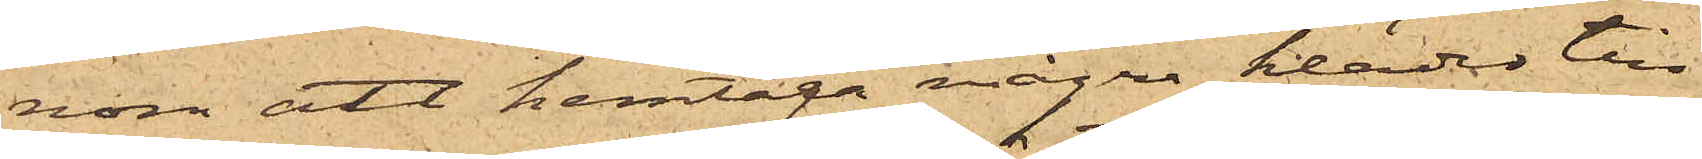nom att hemtaga några kläder till
